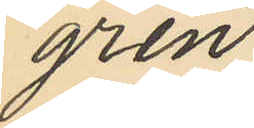gren.
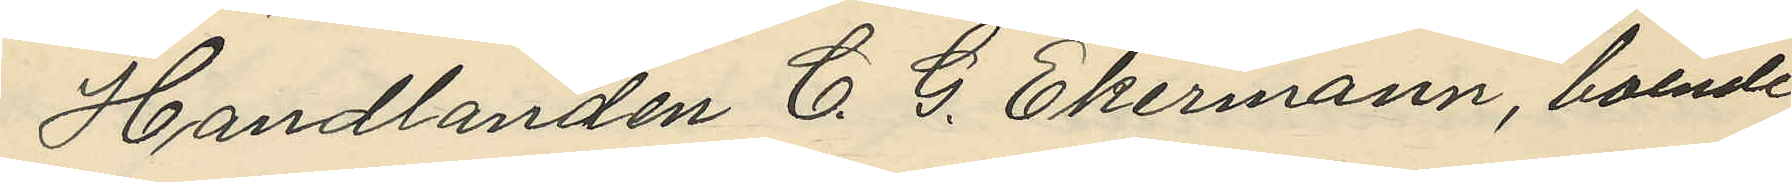Handlanden C. G. Ekermann, boende
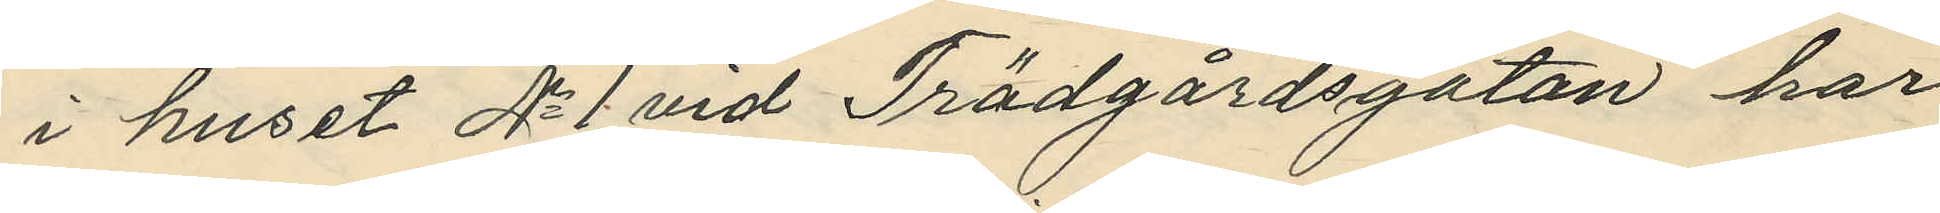i huset No 1 vid Trädgårdsgatan har
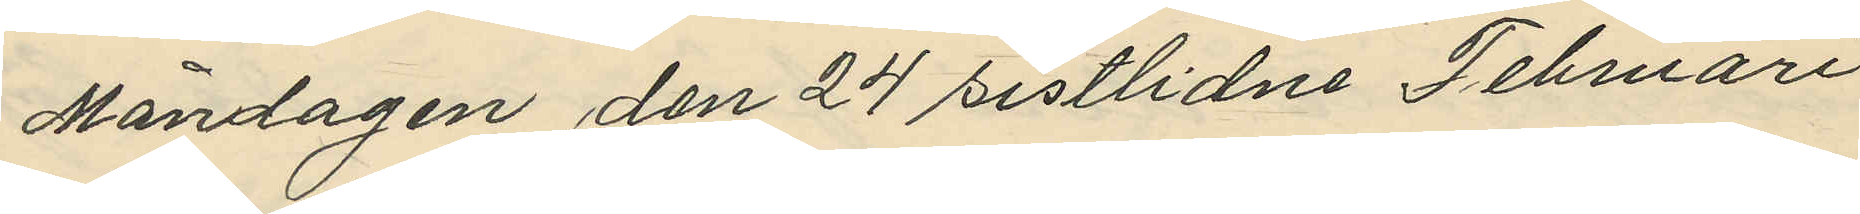Måndagen den 24 sistlidne Februari
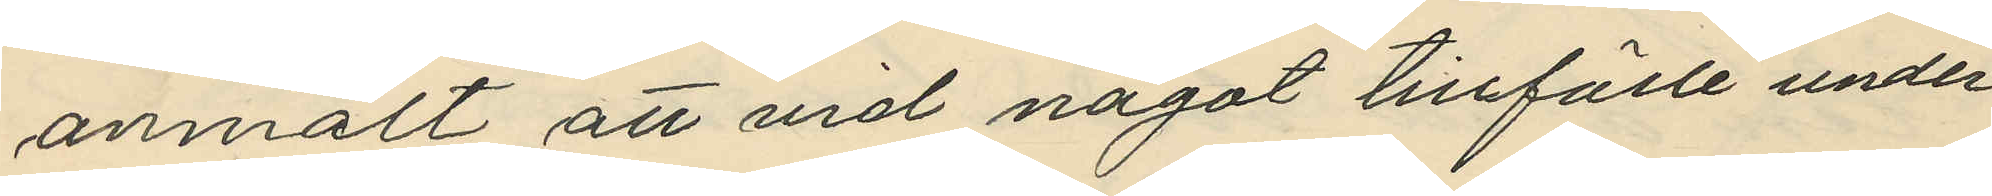anmält att vid något tillfälle under
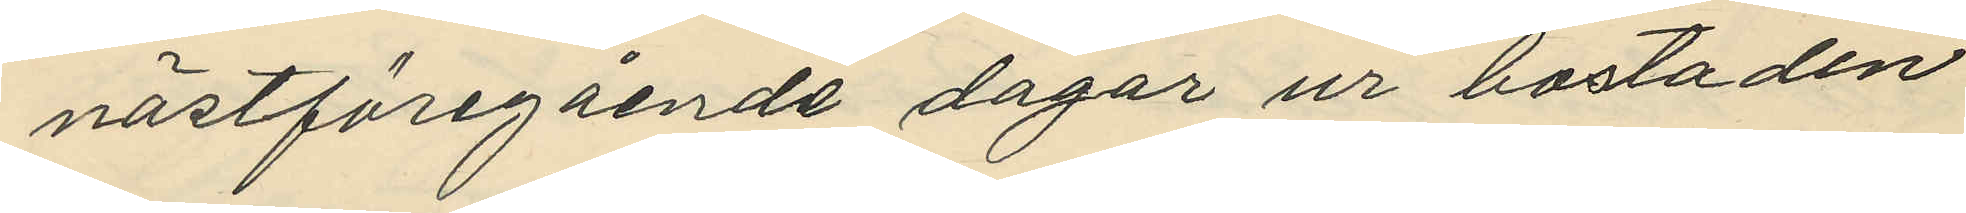nästföregående dagar ur bostaden
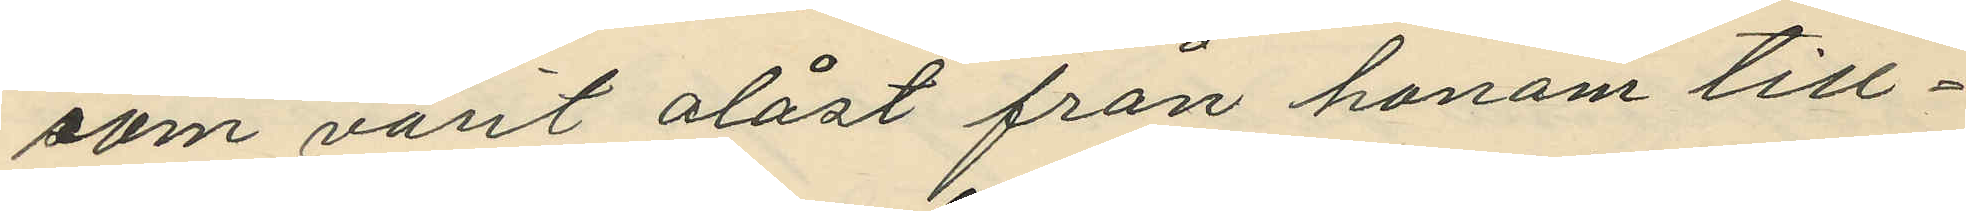som varit olåst från honom till¬
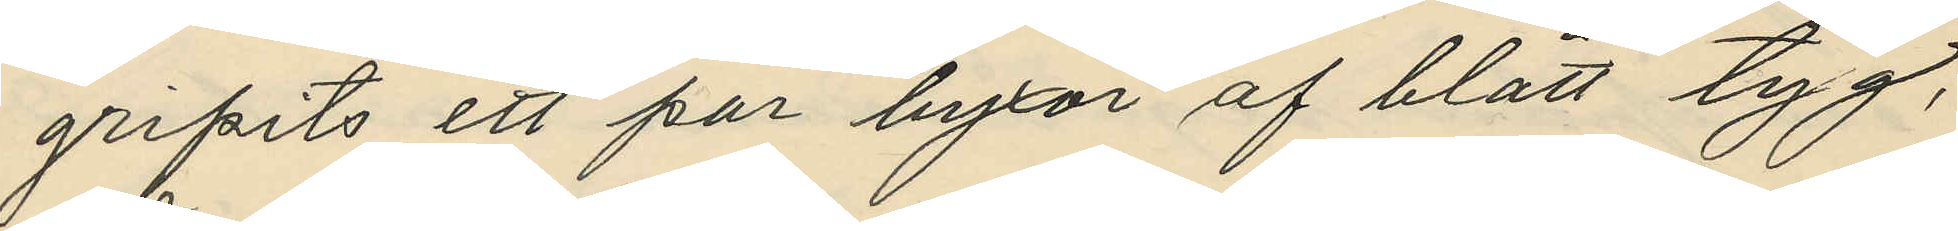gripits ett par byxor af blått tyg,
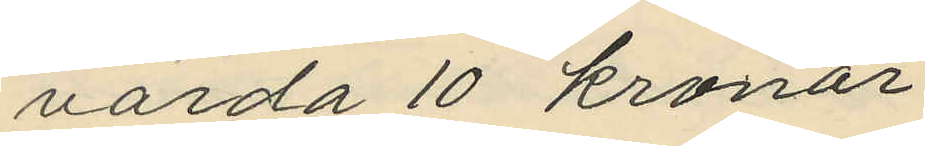värda 10 kronor;
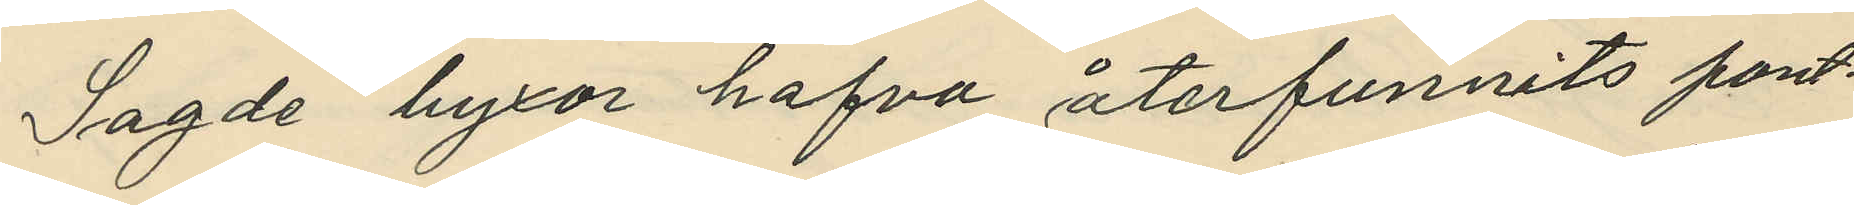Sagde byxor hafva återfunnits pant¬
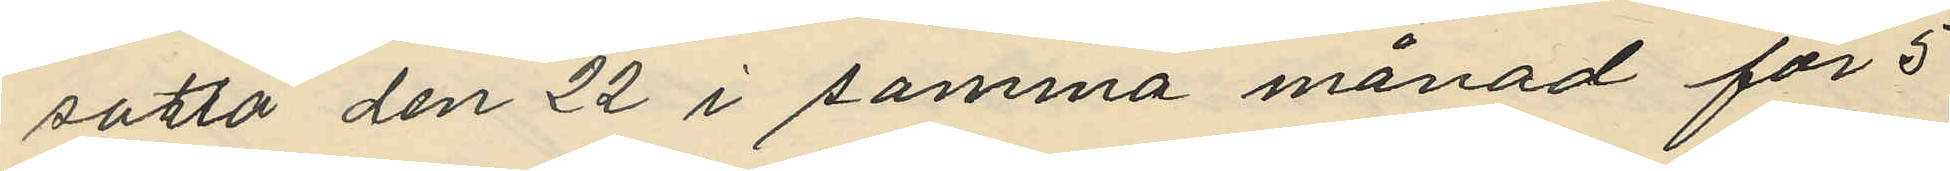satta den 22 i samma månad för 5
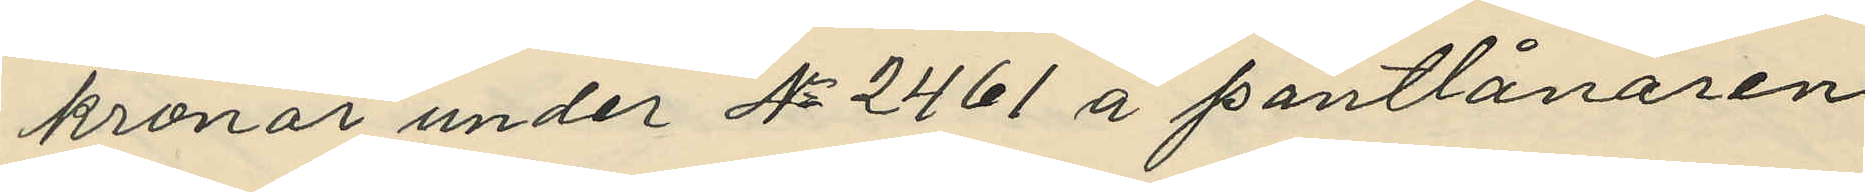kronor under No 2461 å pantlånaren
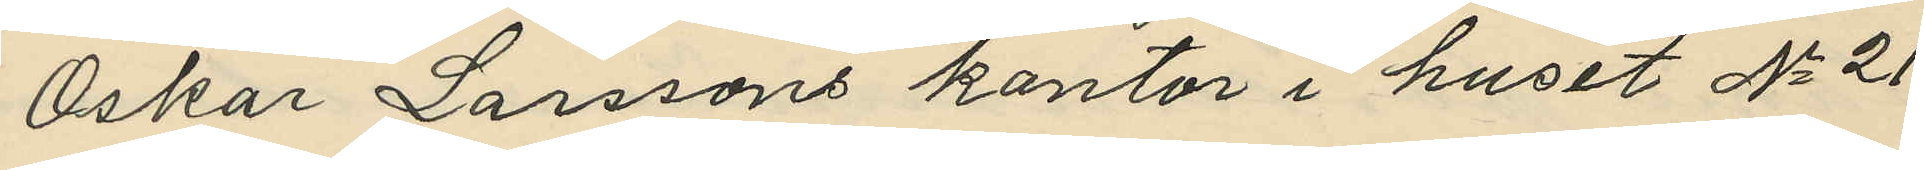Oskar Larssons kontor i huset No 21
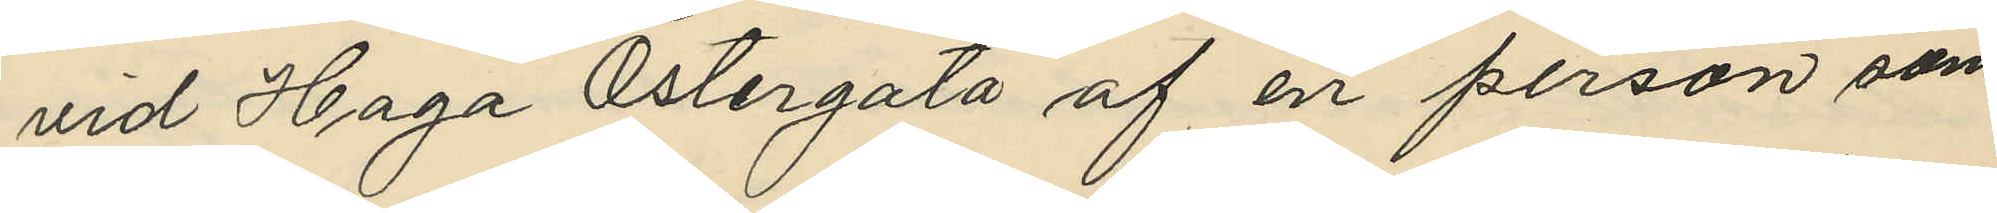vid Haga Östergata af en person som
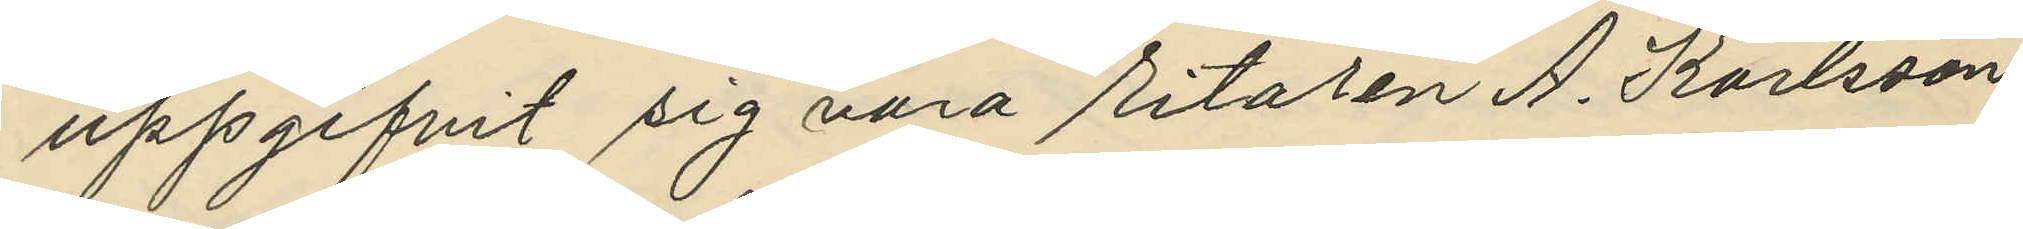uppgifvit sig vara ritaren A. Karlsson
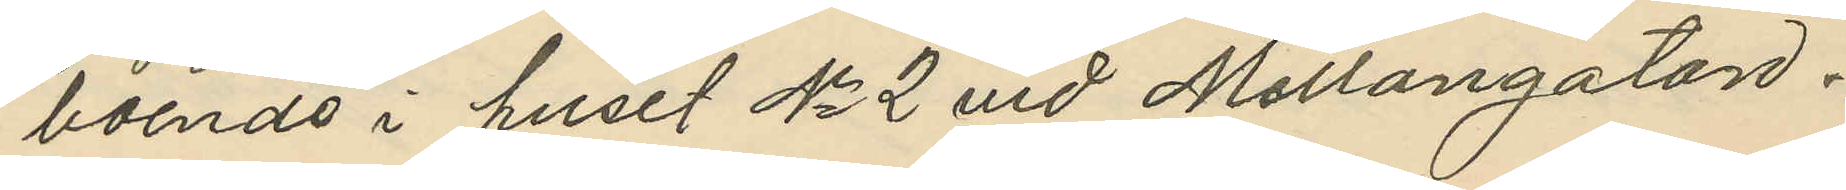boende i huset No 2 vid Mellangatan.
